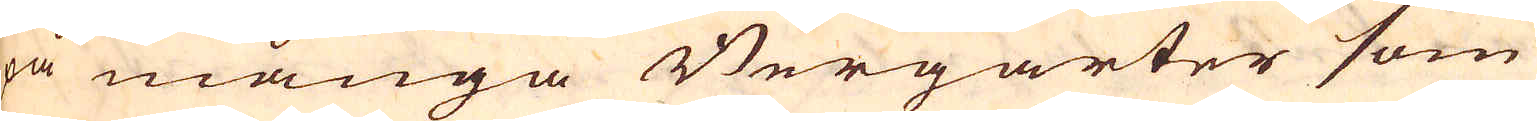på många Bergarter som
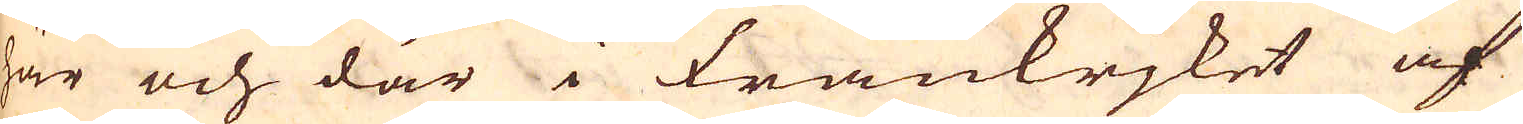här och där i Frankrjket af
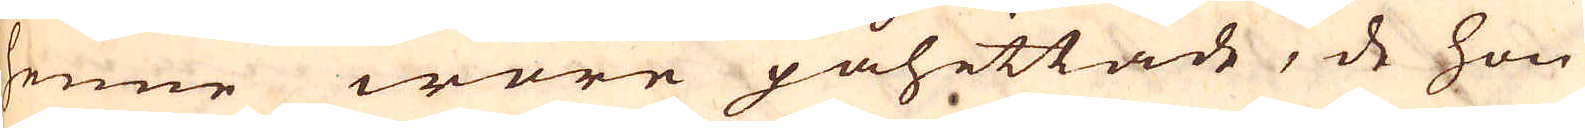henne wore påhittade, de hon
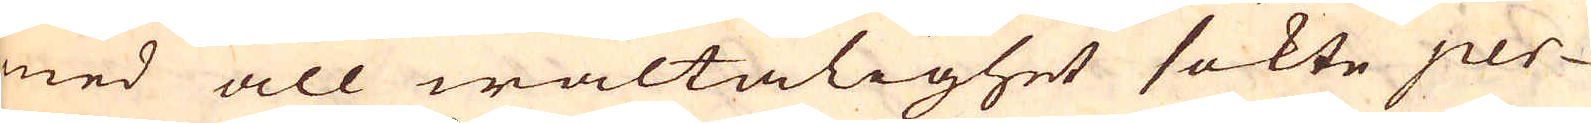med all wältalighet sökte per-
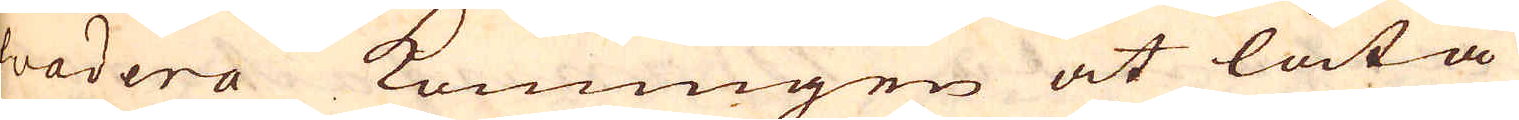suadera konungen at låta
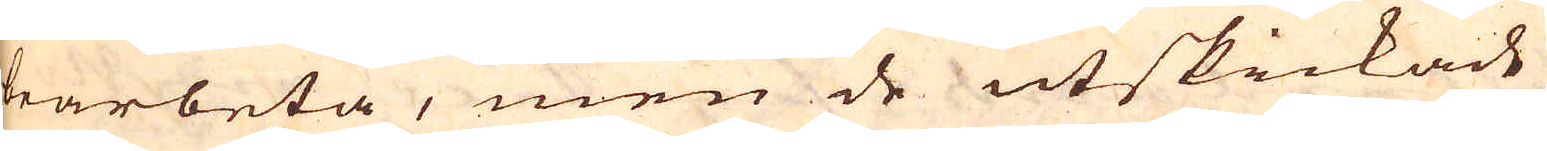bearbeta, men de utskickade
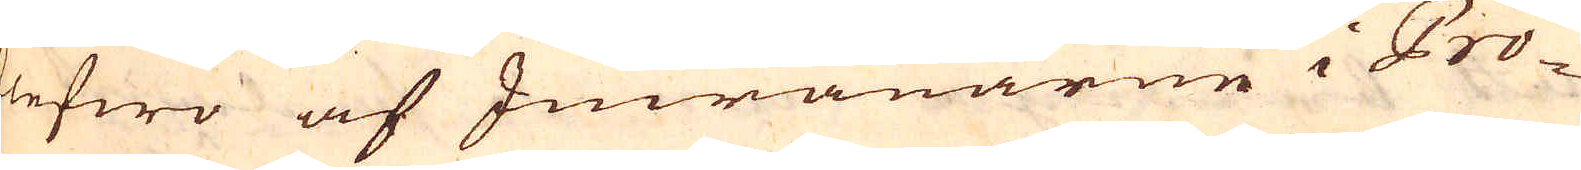blefwo af Invånarne i Pro-
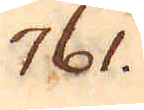761.
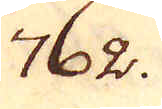762.
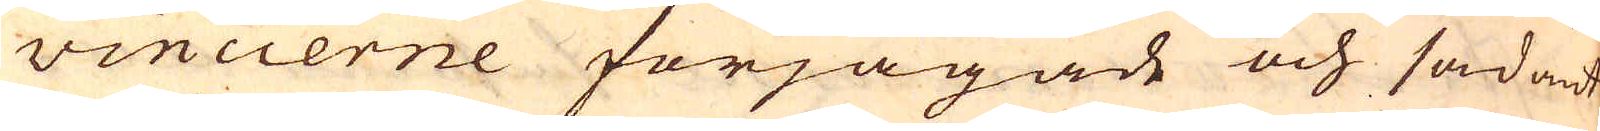vincierne förjagade och sådant
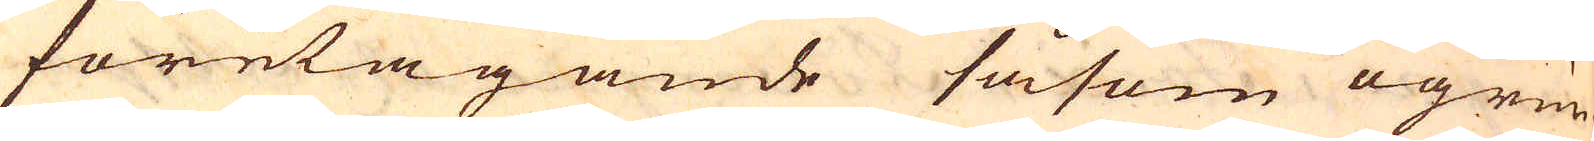företagande såsom ogrun-
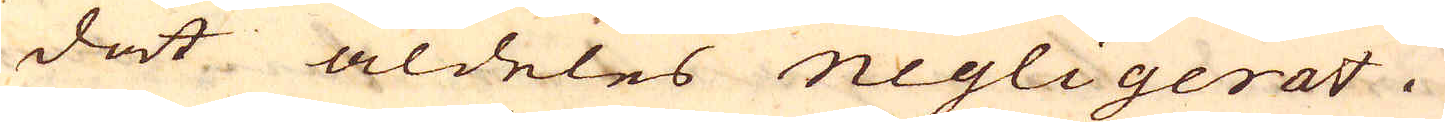dat aldeles negligerat.
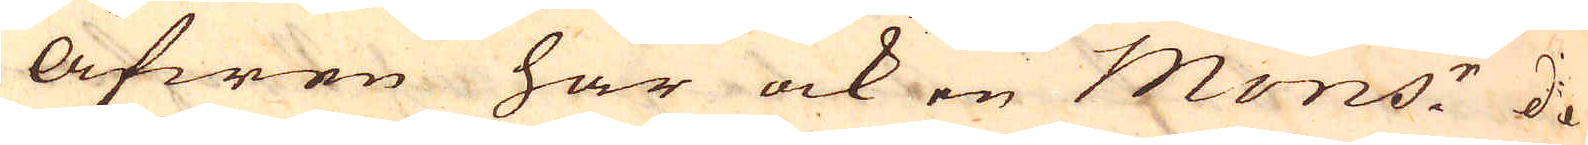Äfwen har ock en Mons: de
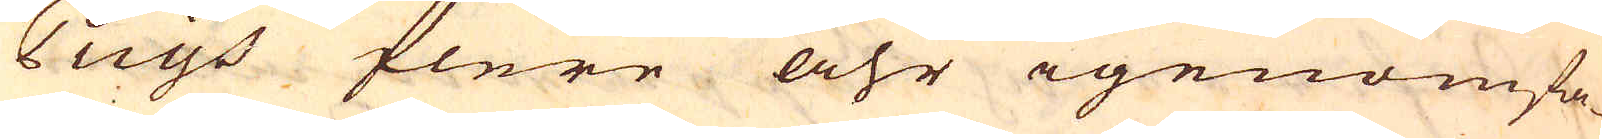Puys flere åhr igenomfa-
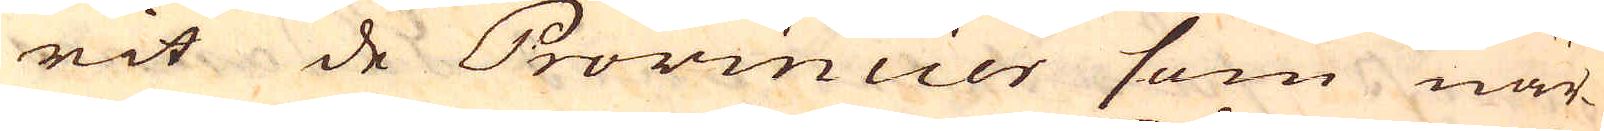rit de Provincier som när-
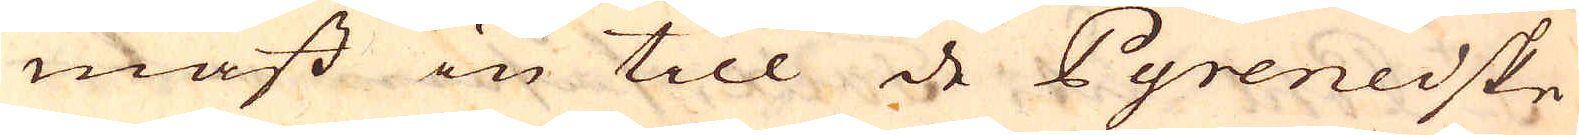mast in till de Pyreneiske
